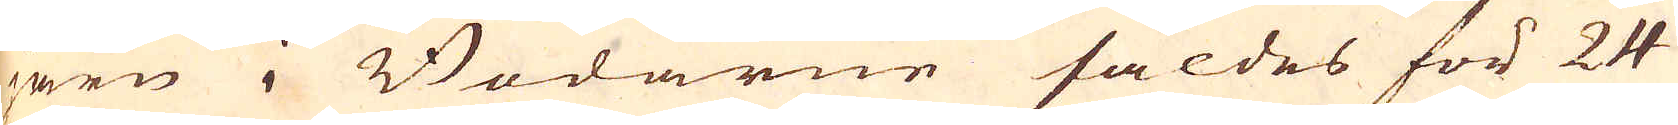järn i Bodarne såldes för 24
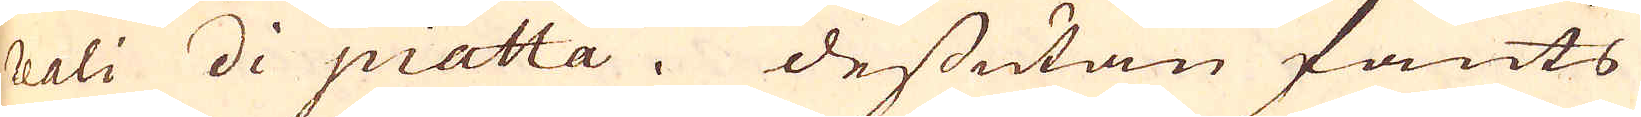reali di piatta. Dessutan fants
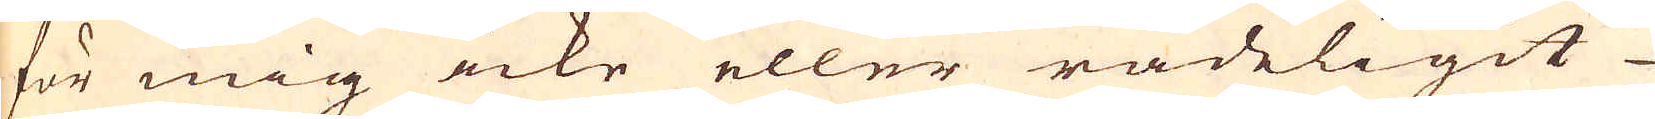för mig icke eller rådeligit
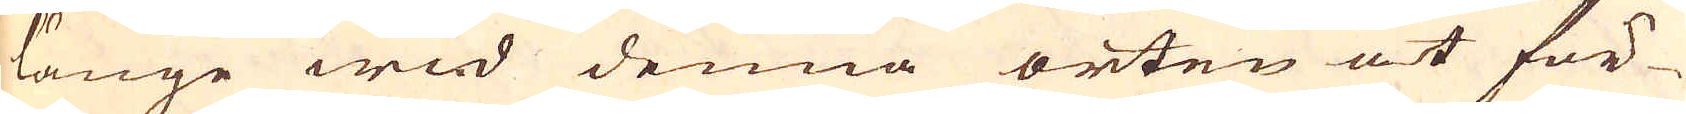länge wid denna orten at för-
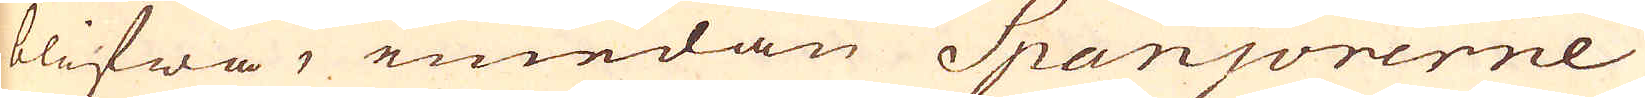blifwa, emedan Spanjorerne
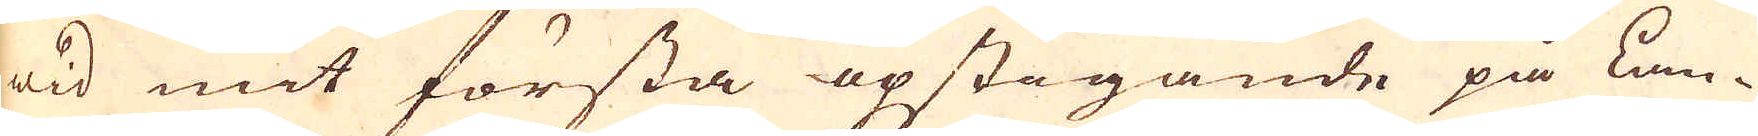wid mit första opstigande på Lan-
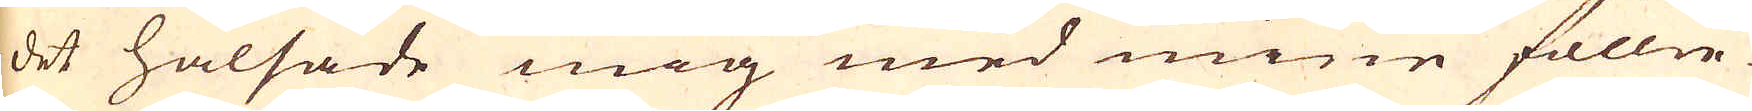det hälsade mig med mine föllie-
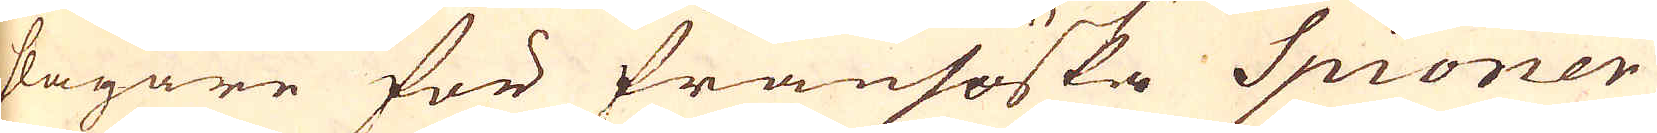slagare för fransöska Spioner
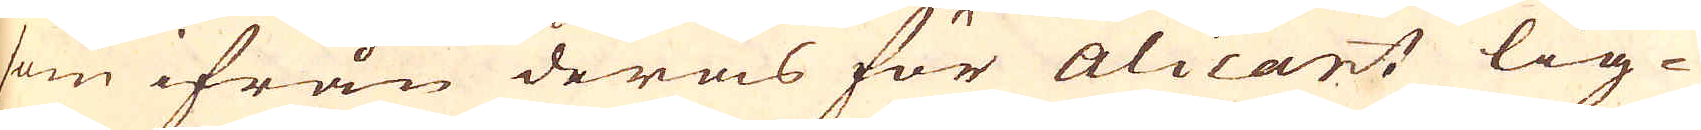som ifrån deras för Alicant lig-
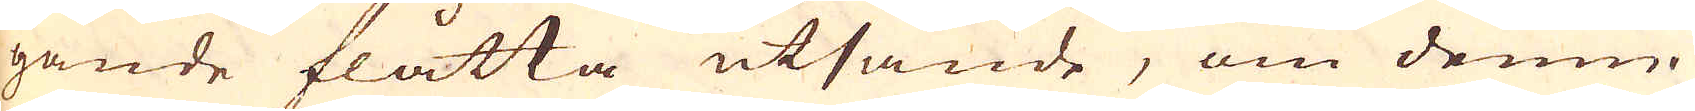gande flåtta utsände, om denne
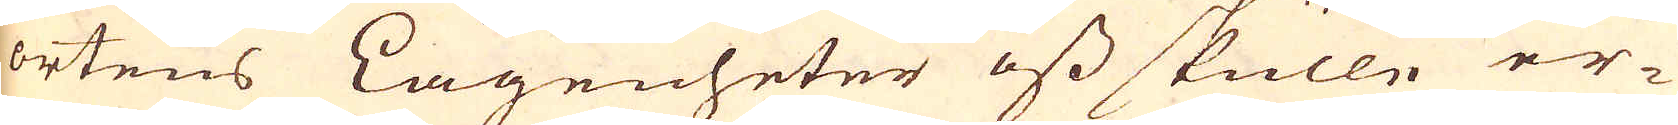ortens Lagenheter oss skulle er-
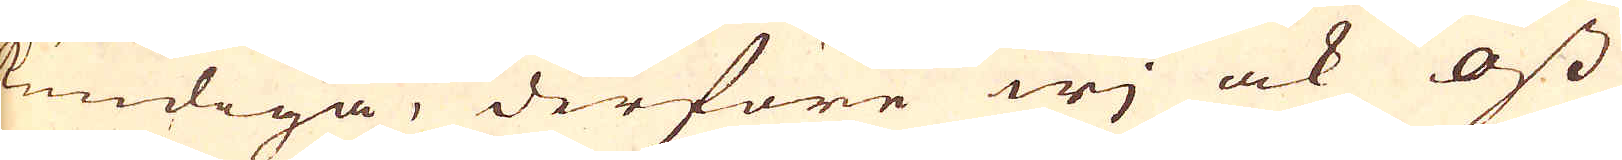kundiga, derföre wj ock oss
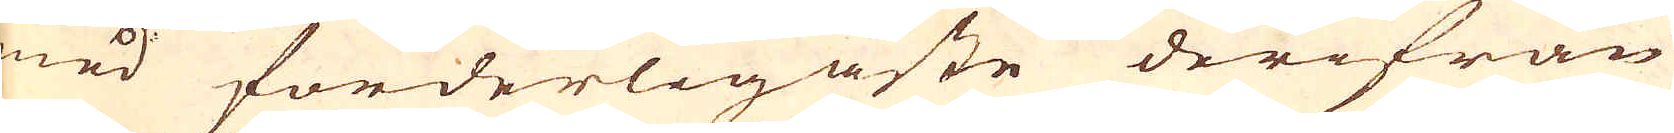med förderligaste derifrån
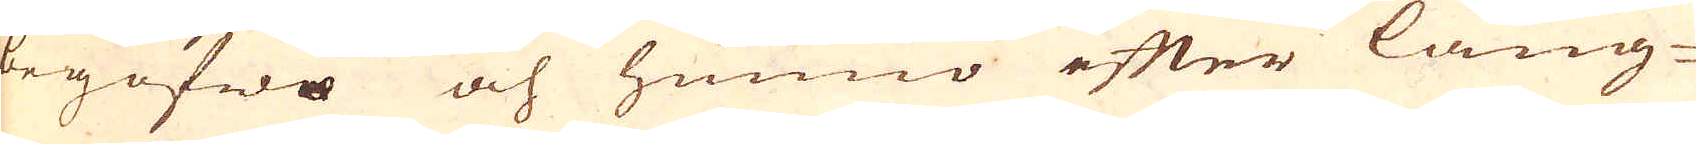begofwo och hunno efter lång-
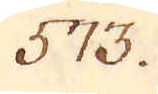573.
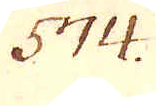574.
